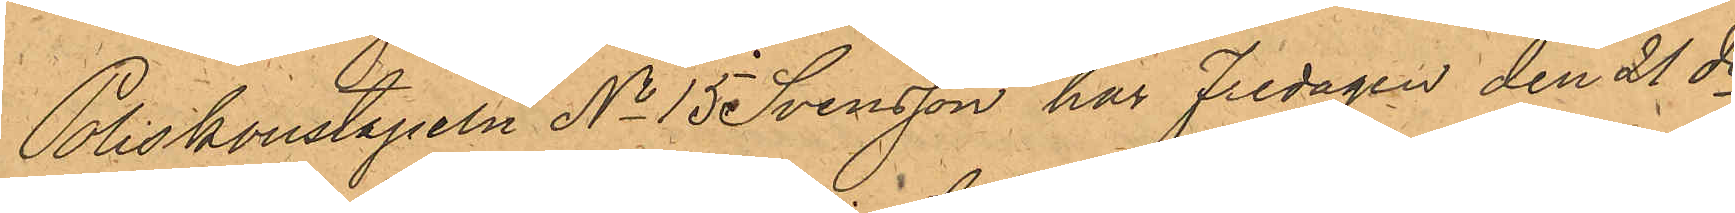Poliskonstapeln No 15 Svensson har Fredagen den 21 ds
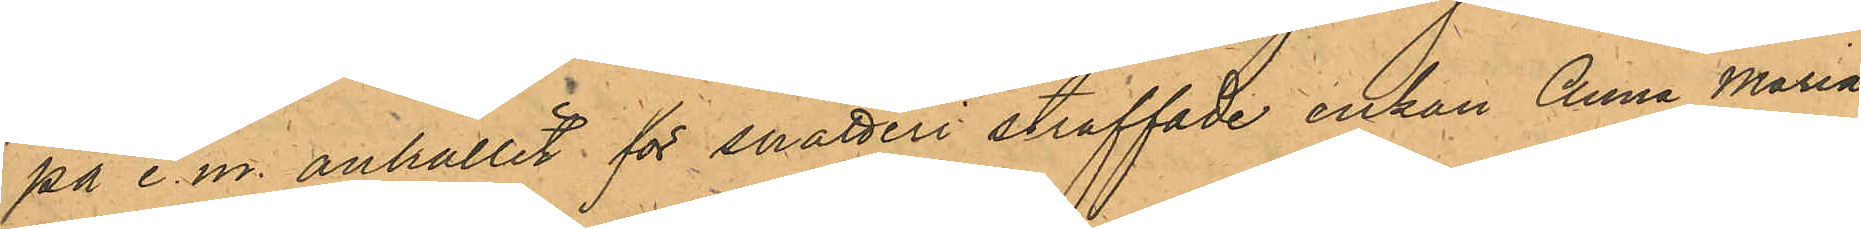på e.m. anhållit för snatteri straffade enkan Anna Maria
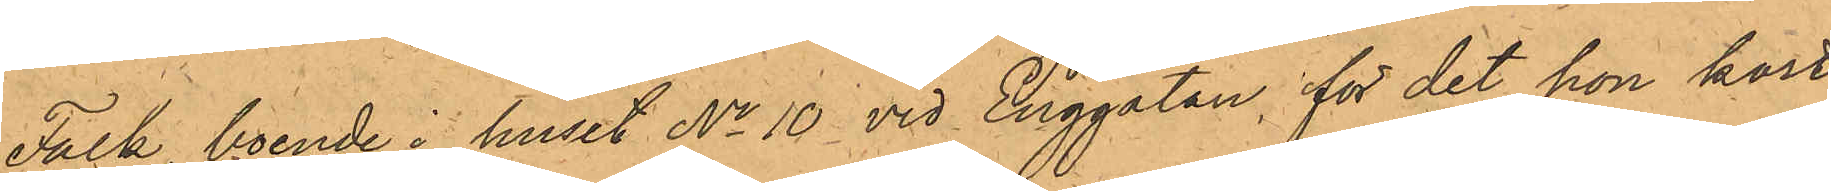Falk, boende i huset No 10 vid Enggatan, för det hon kort
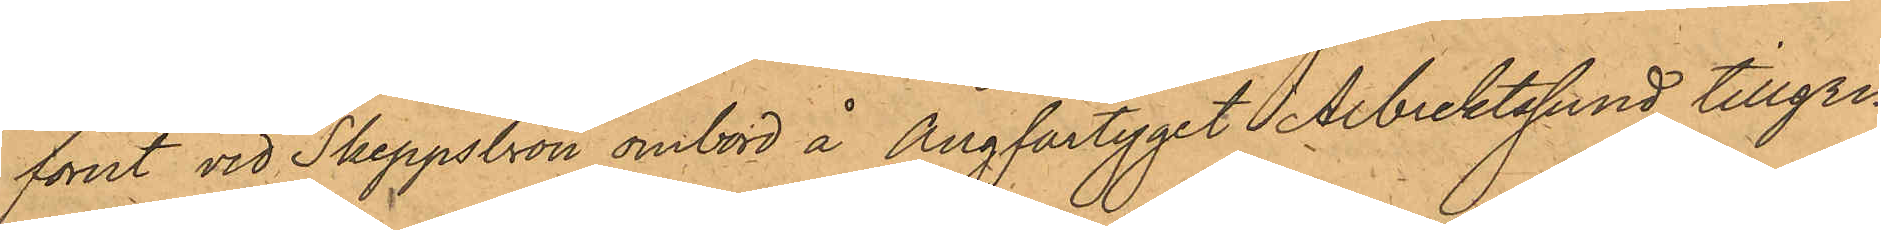förut vid Skeppsbron ombord å Ångfartyget Albrektssund tillgri¬
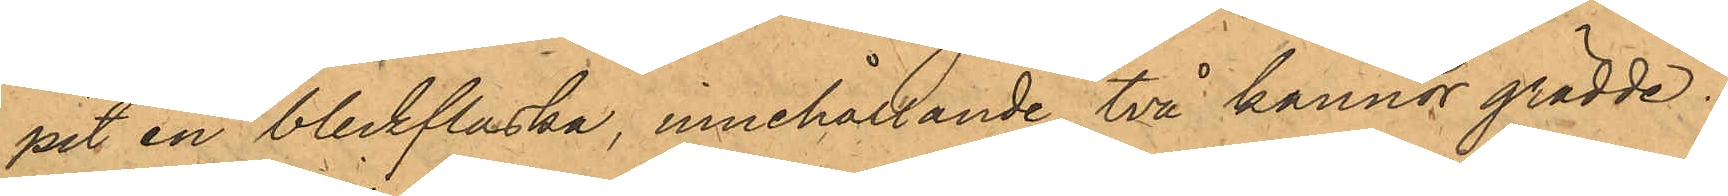pit en bleckflaska, innehållande två kannor grädde.
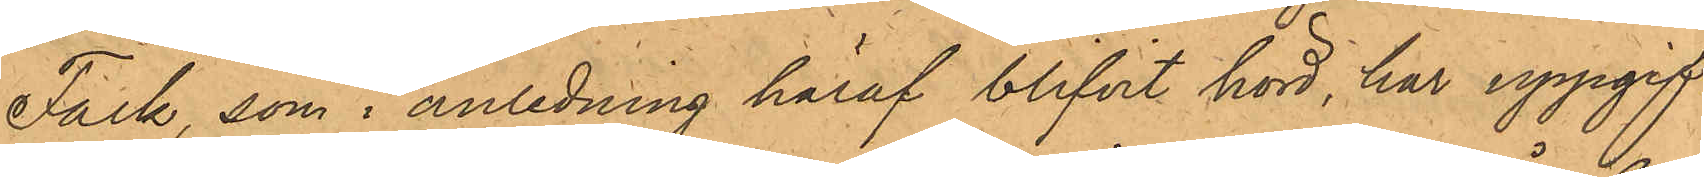Falk, som i anledning häraf blifvit hörd, har uppgif¬
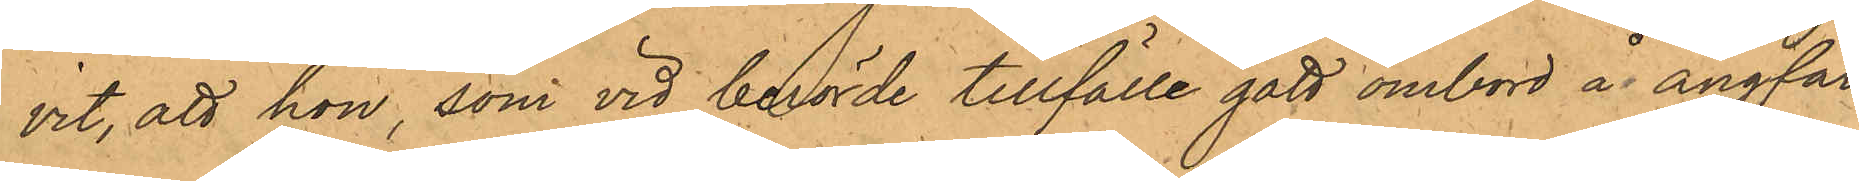vit, att hon, som vid berörde tillfälle gått ombord å ångfar¬
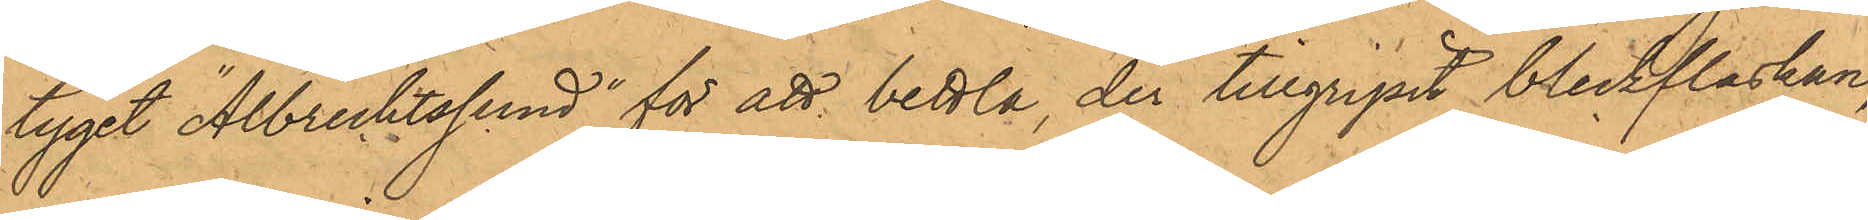tyget "Albrechtssund" för att bettla, der tillgripit bleckflaskan,
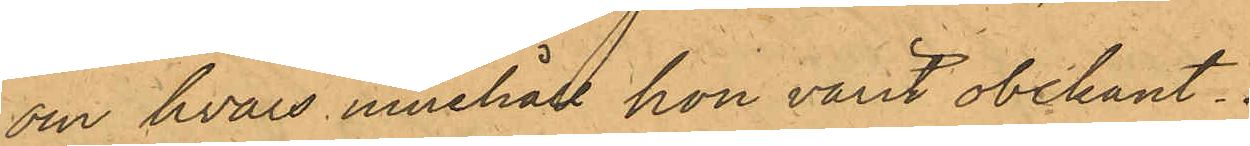om hvars innehåll hon varit obekant.
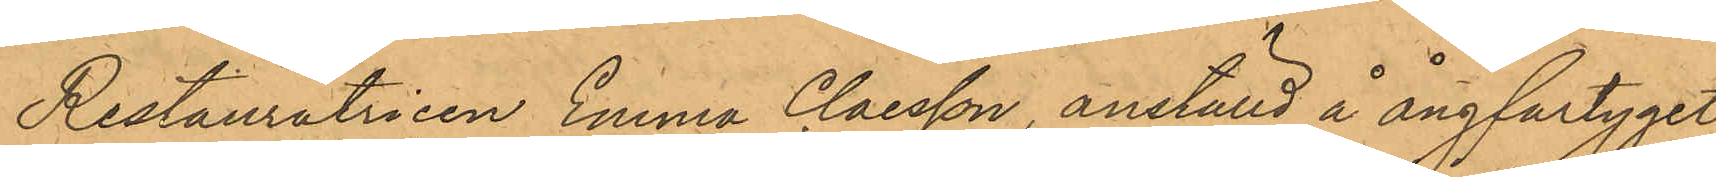Restauratricen Emma Claesson, anställd å ångfartyget
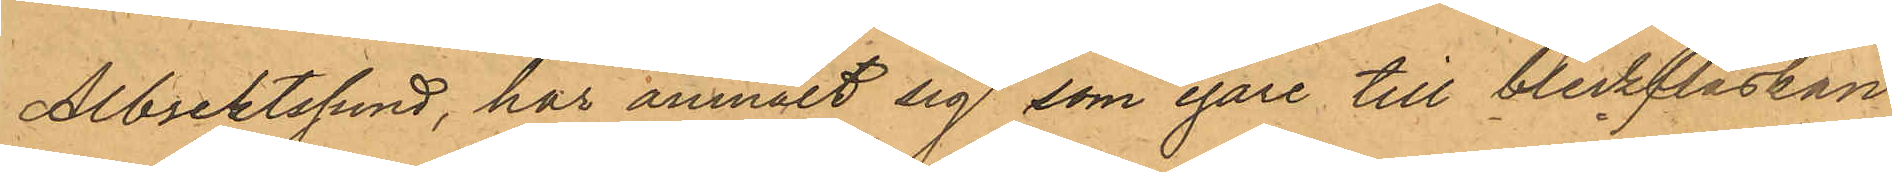Albrektssund, har anmält sig som egare till bleckflaskan
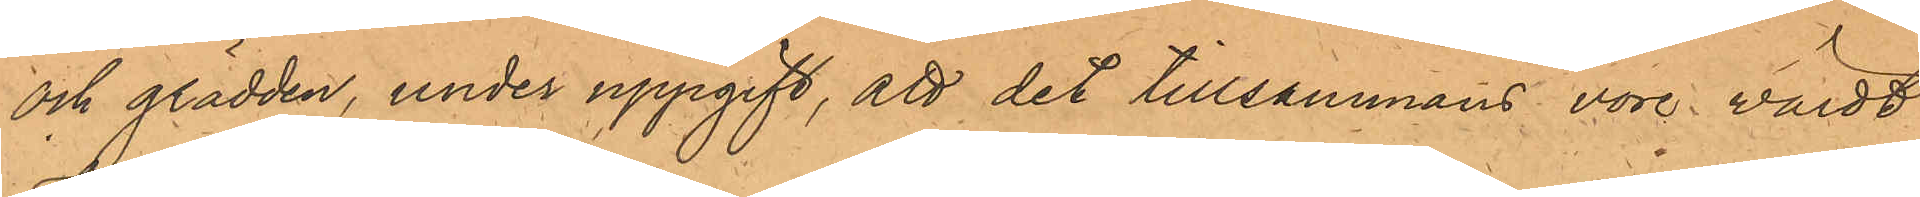och grädden, under uppgift, att det tillsammans vore värdt
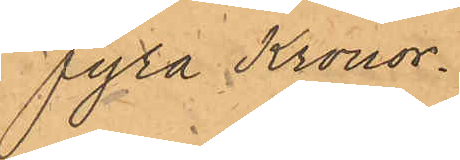fyra Kronor.
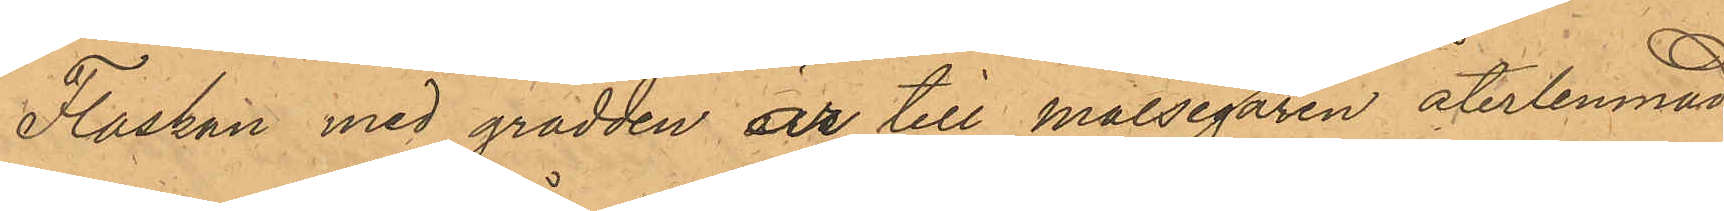Flaskan med grädden är till Målsegaren återlemnad.
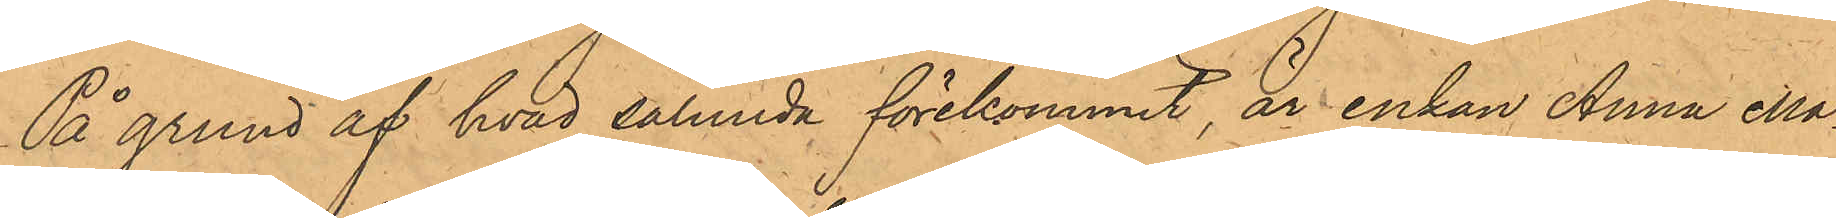På grund af hvad sålunda förekommit, är enkan Anna Ma¬
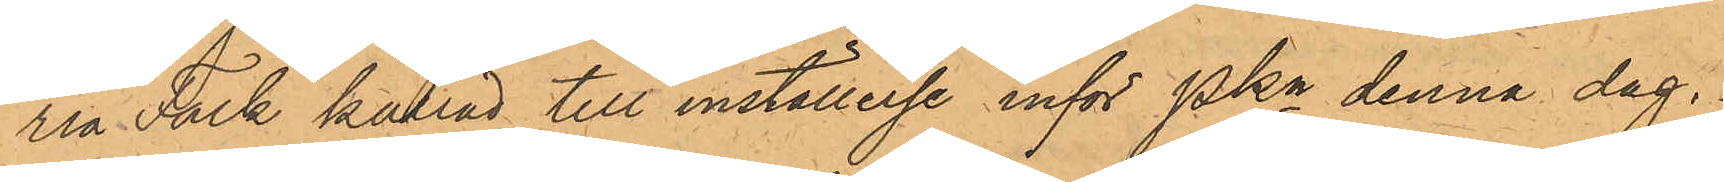ria Falk kallad till inställelse inför Pkn denna dag.
